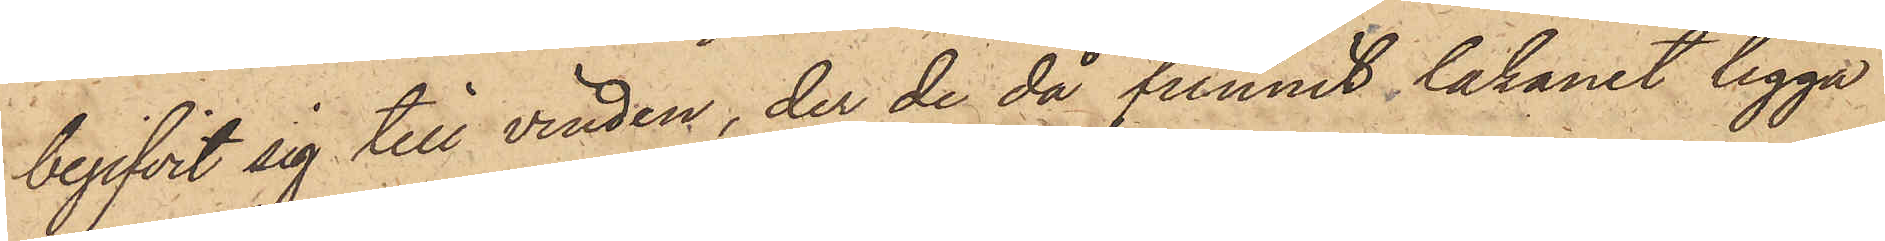begifvit sig till vinden, der de då funnit lakanet ligga
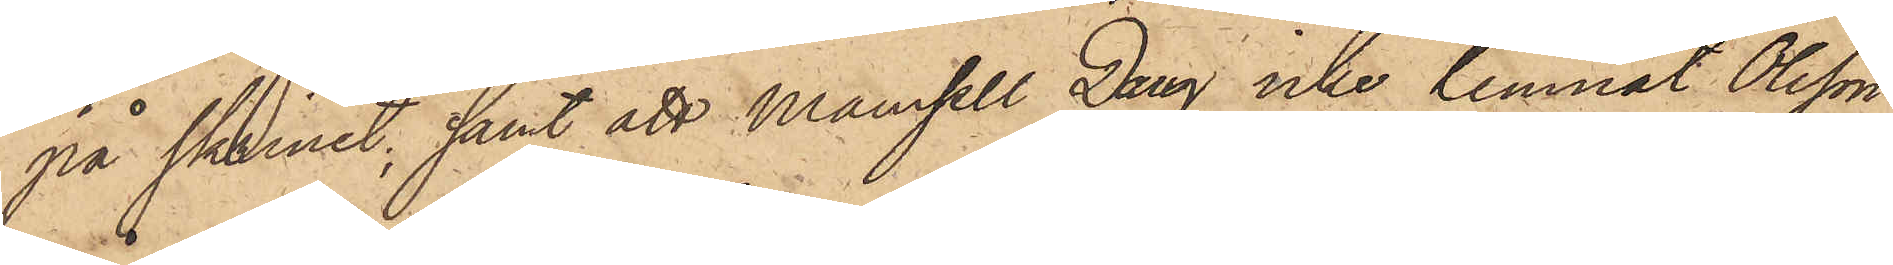på skrinet; samt att mamsell Daug icke lemnat Olsson
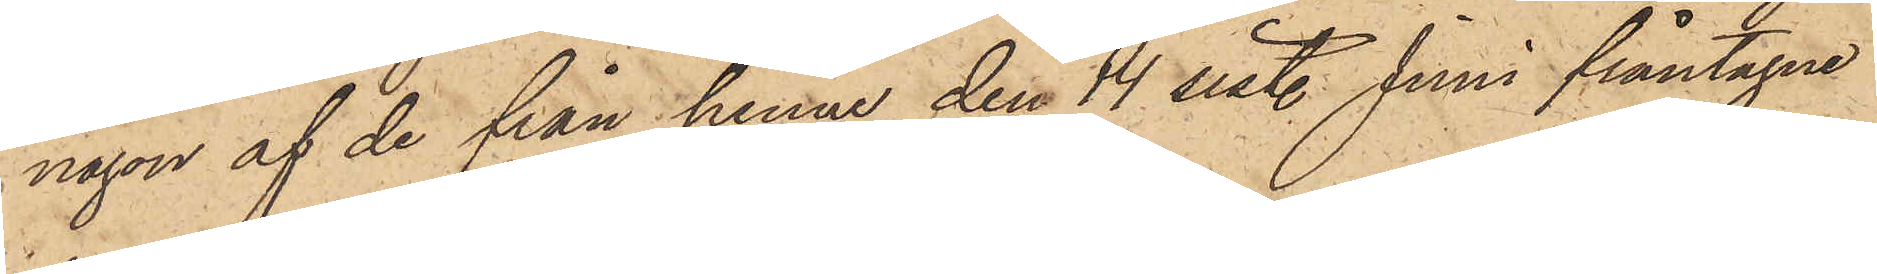någon af de från henne den 14 sist. Juni fråntagne
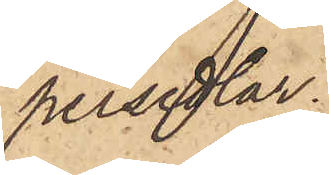persedlar.
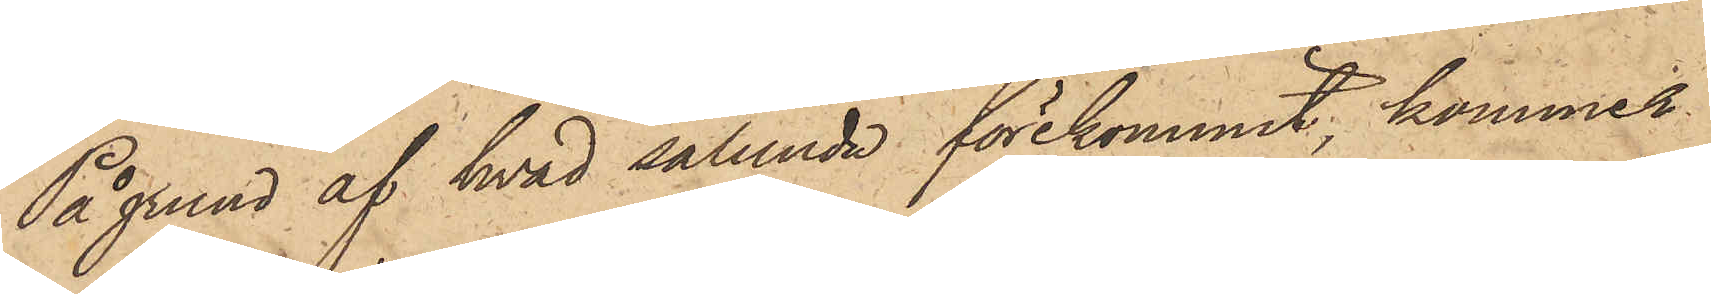På grund af hvad sålunda förekommit, kommer
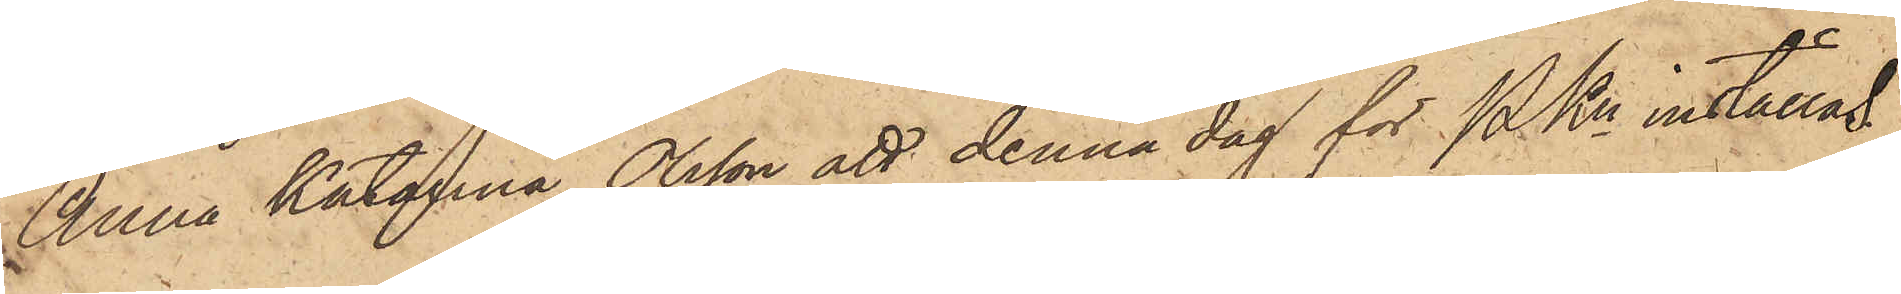Anna Katarina Olsson att denna dag för PKn inställas.
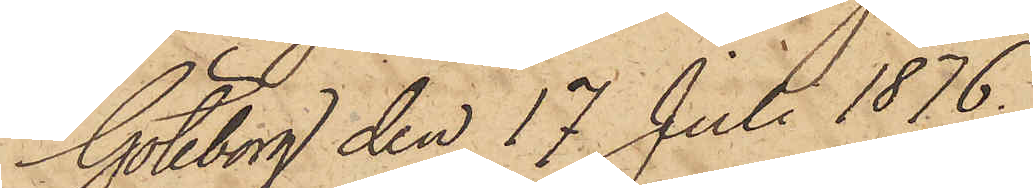Göteborg den 17 Juli 1876.
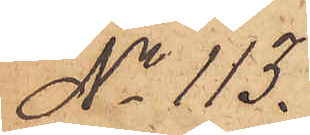No 113.
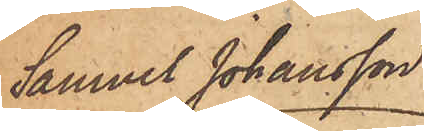Samuel Johansson
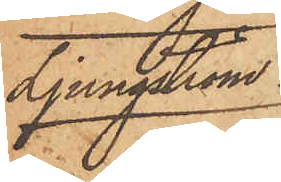Ljungström
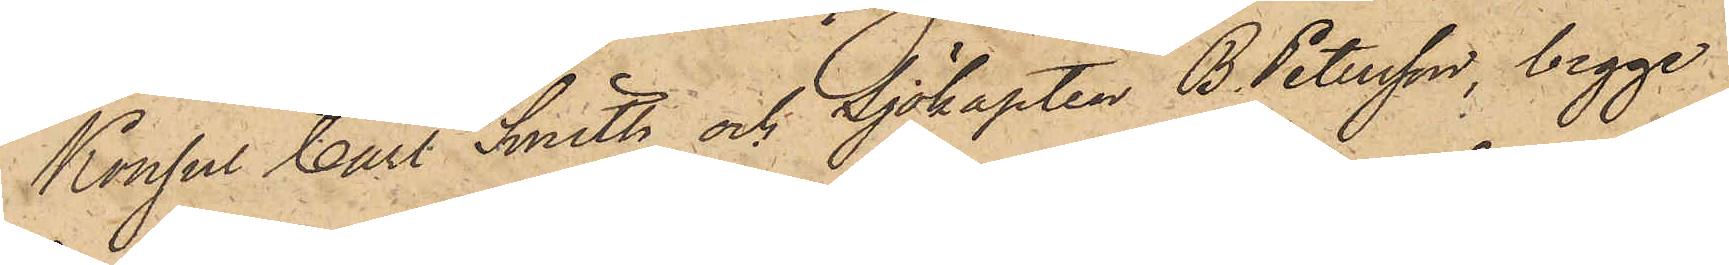Konsul Carl Smith och Sjökapten B. Petersson, begge
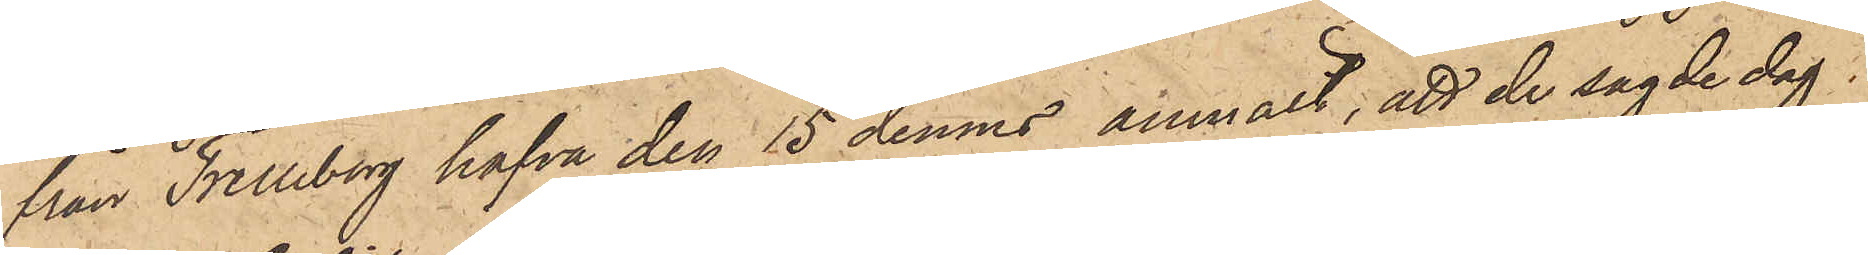från Trelleborg hafva den 15 dennes anmält, att de sagde dag
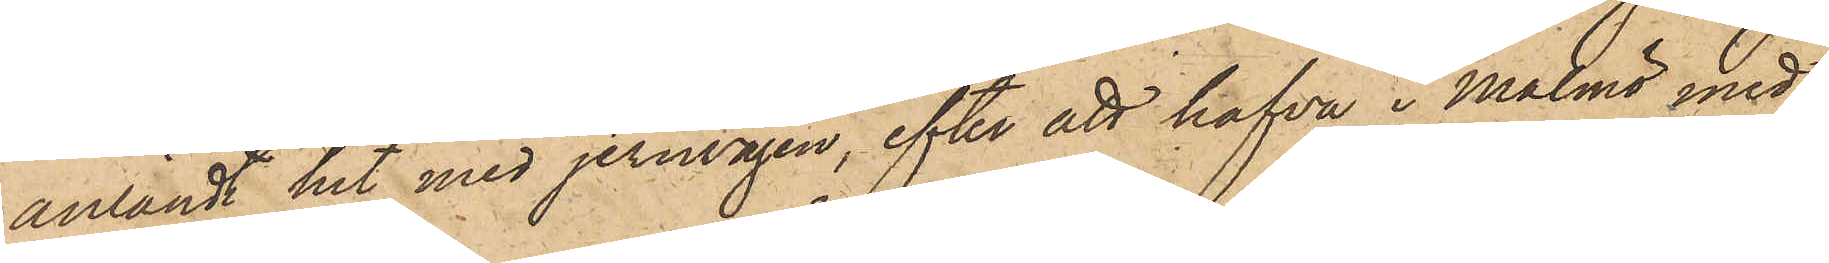anländt hit med jernvägen, efter att hafva i Malmö med
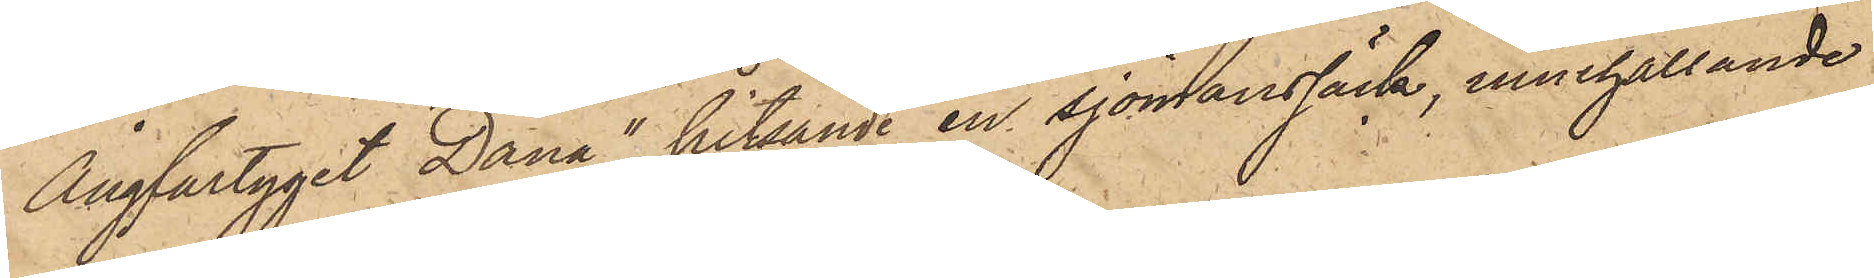Ångfartyget "Dana" hitsändt en sjömanssäck, innehållande
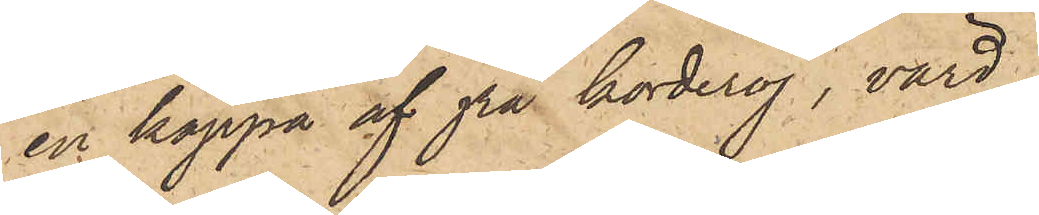en kappa af grå korderoj, värd
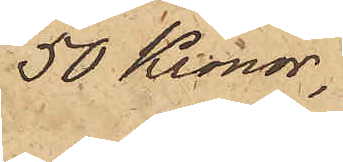50 Kronor,
